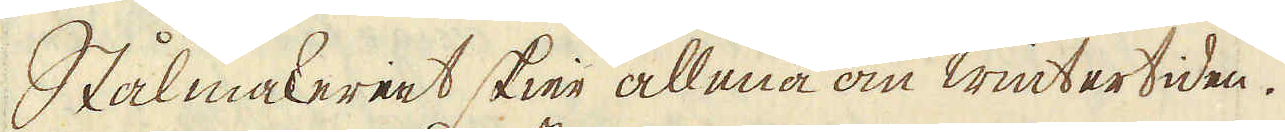Stålmakeriet skier allena om wintertiden.
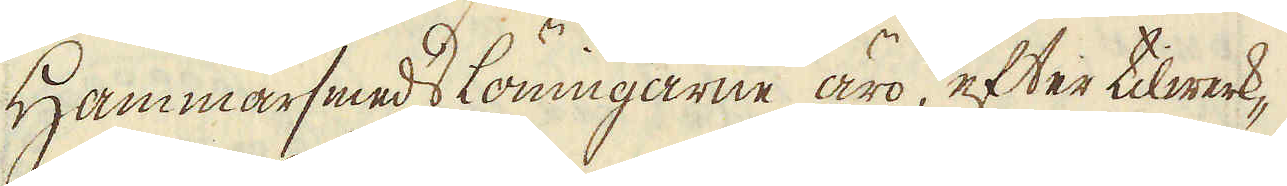Hammarsmeds löningarne äro efter tilwerk-
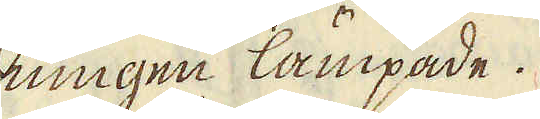ningen lämpade.
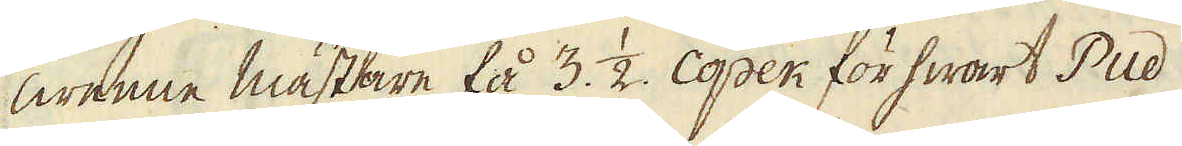Twenne mästare få 3. 1/2. Copek för hwart Pud
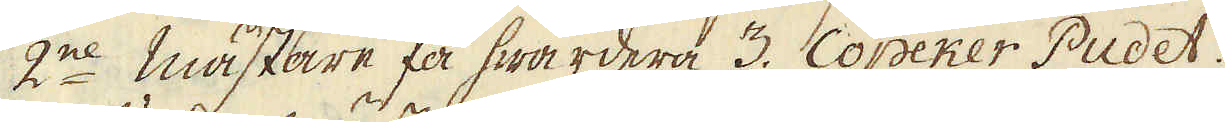2ne mästare få hwardera 3. Copeker Pudet.
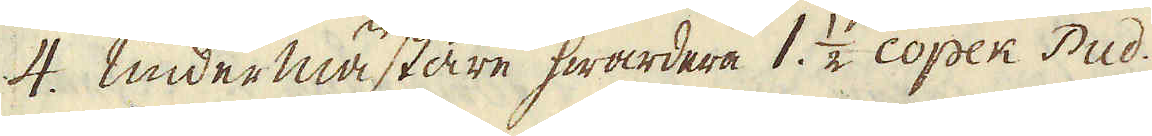4. undermästare hwardera 1. 1/2. Copek Pud.
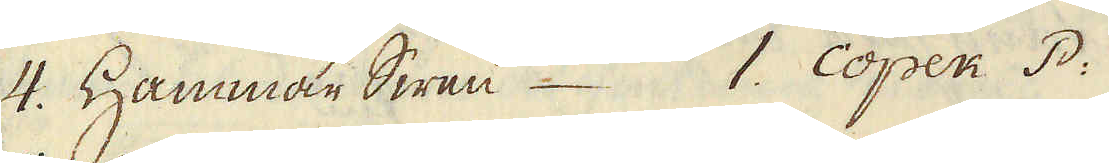4. Hammar Swen 1. Copek P:
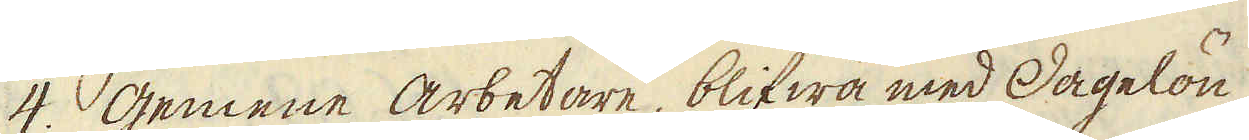4. gemene arbetare, blifwa med dagelön
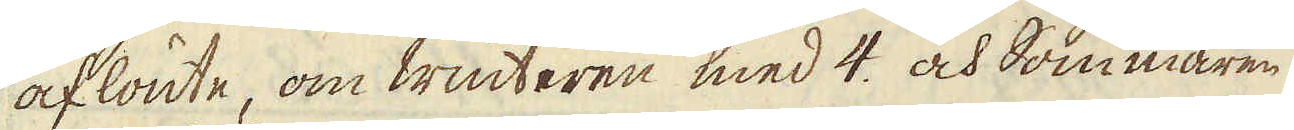aflönte, om winteren med 4. och Sommaren
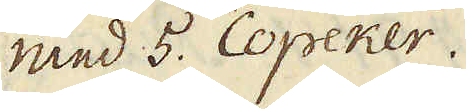med 5. Copeker.
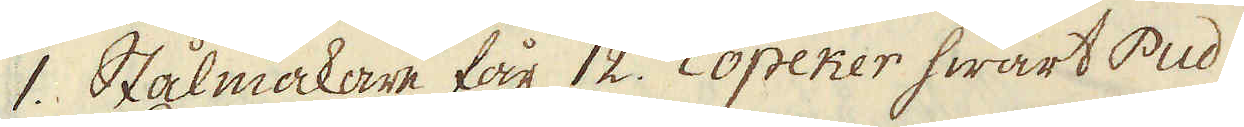1. Stålmakare får 12. Copeker hwart Pud
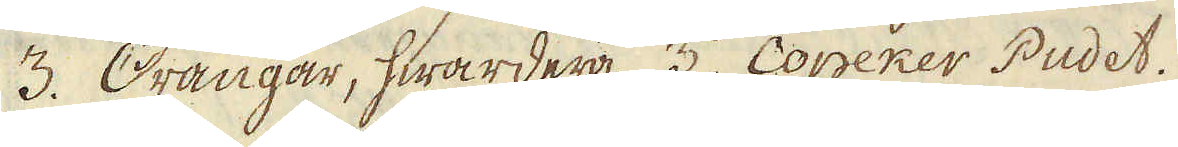3. Drängar, hwardera 3. Copeker Pudet.
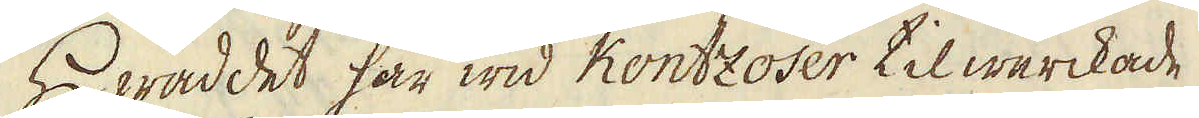Hwad det här wid Kontzoser tilwerckade
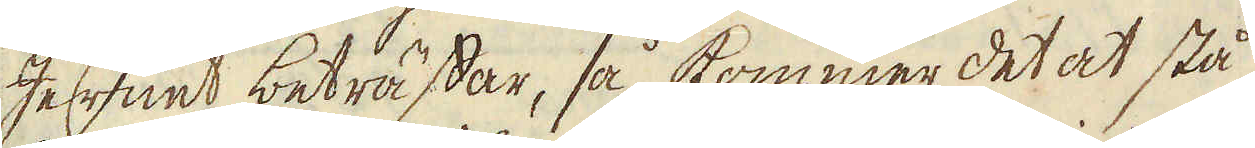Jernet beträffar, så kommer det at stå
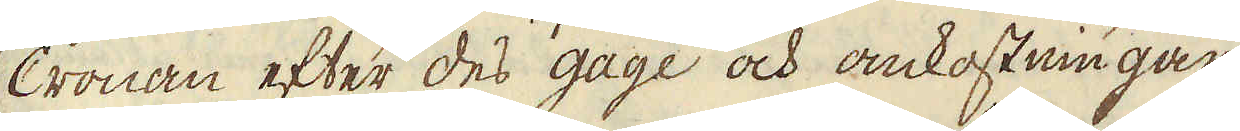Cronan efter des gage och omkostningar
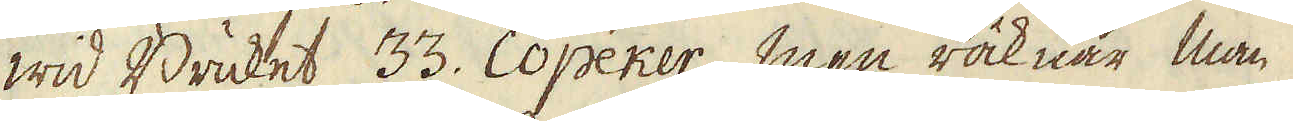wid Bruket 33. Copeker, men räknar man
